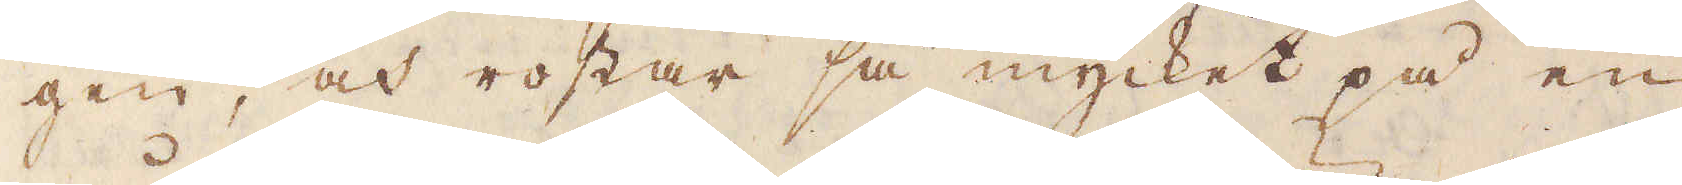gen, och rostar så mycket på en
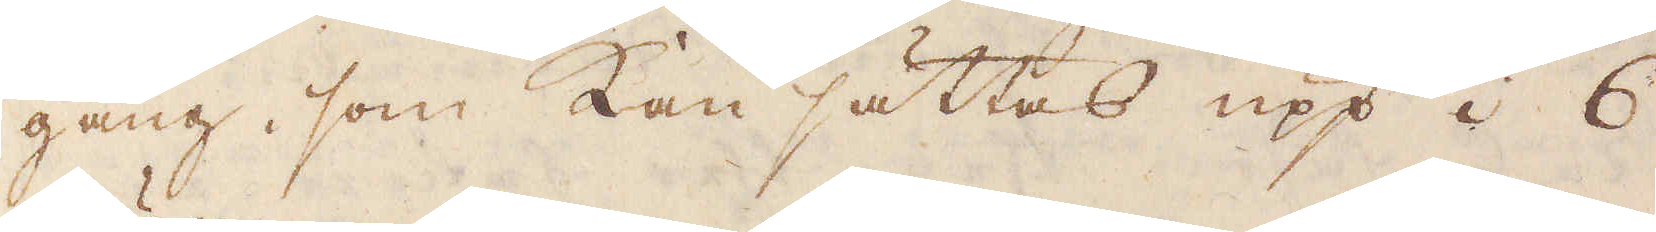gång, som kan sättas upp i 6
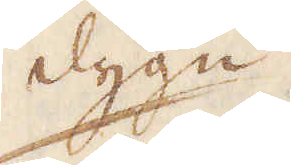dygn.
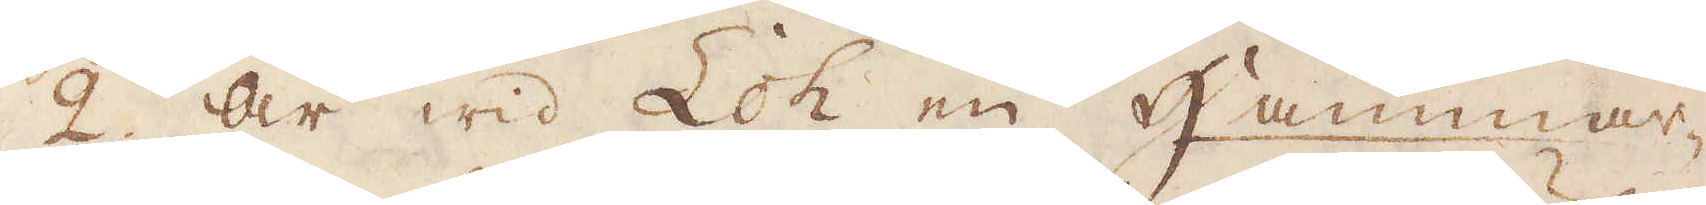2. Är wid Loh en Hammar-
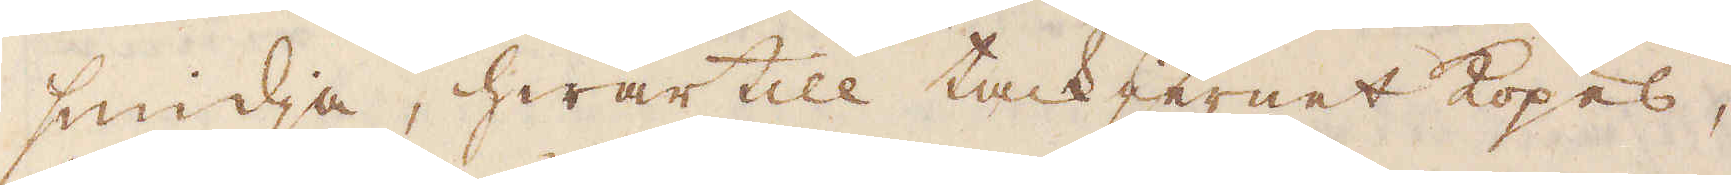smidja, hwartill tackjernet köpes,
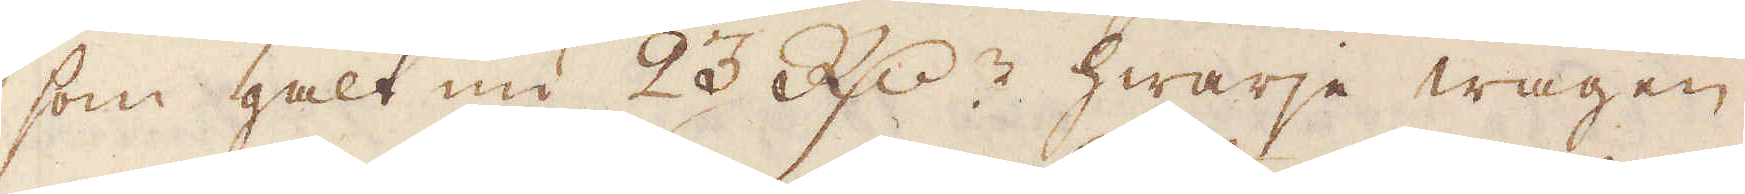som galt nu 23 R:dr hwarje wagen,
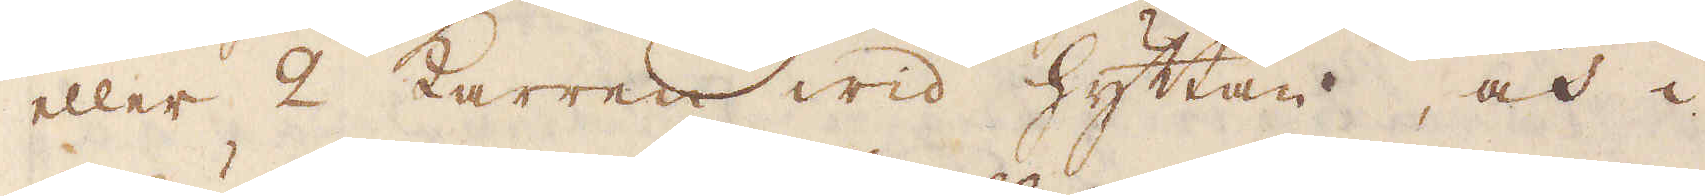eller 2 karren wid hyttan, och i
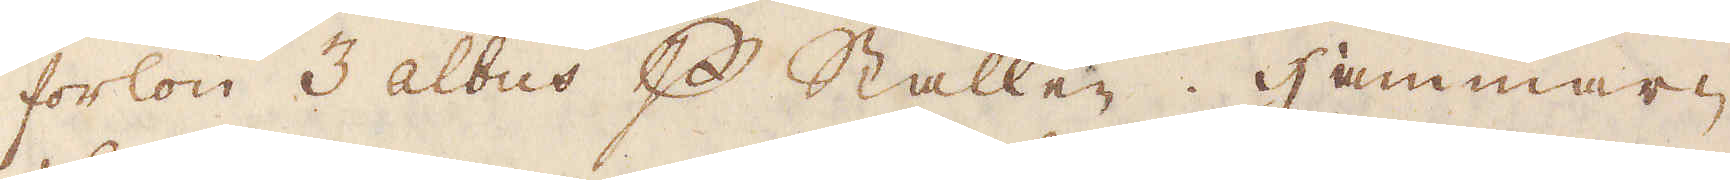forlön 3 albus p Stallen. Hammar-
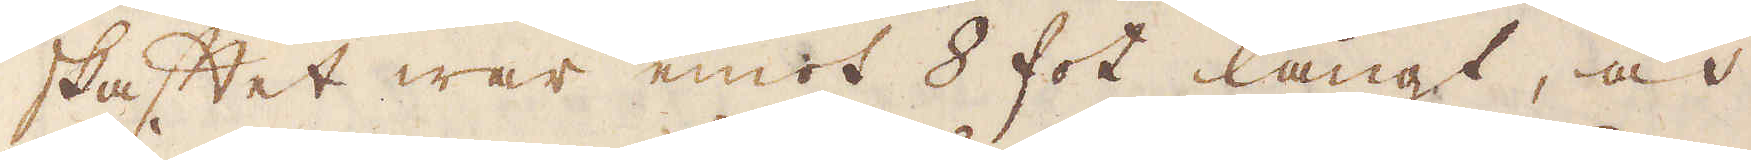skaftet war emot 8 fot långt, och
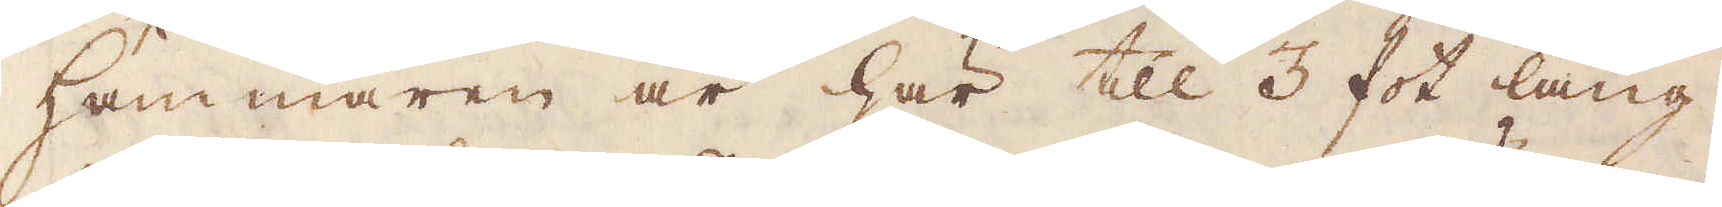Hammaren är här till 3 fot lång,
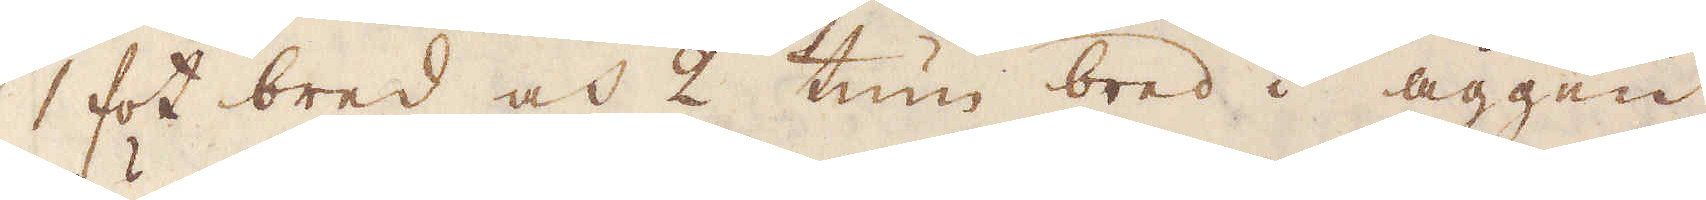1 fot bred och 2 tum bred i äggen,
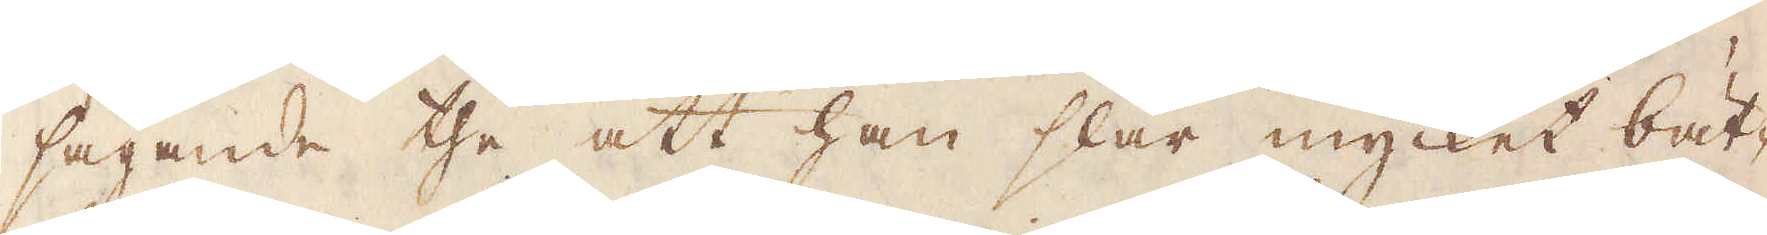sägande the att han slår mycket bät-
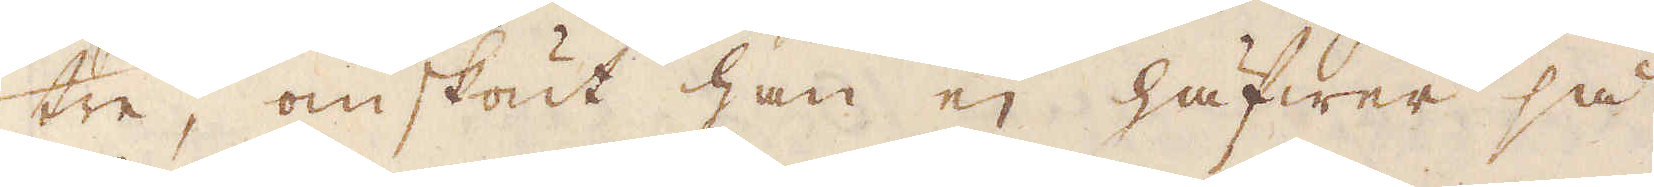tre, omskönt han ej häfwer så
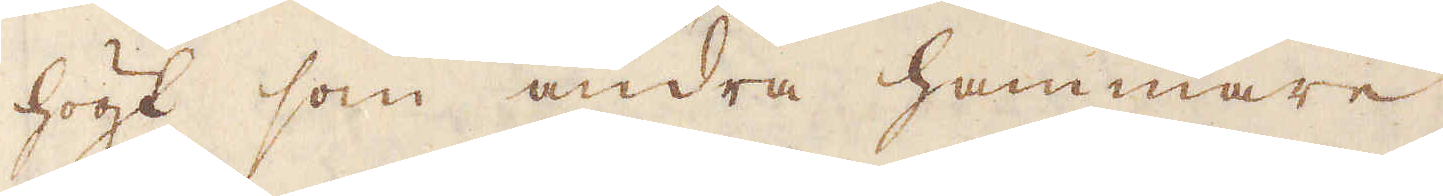högt som andra hammare.
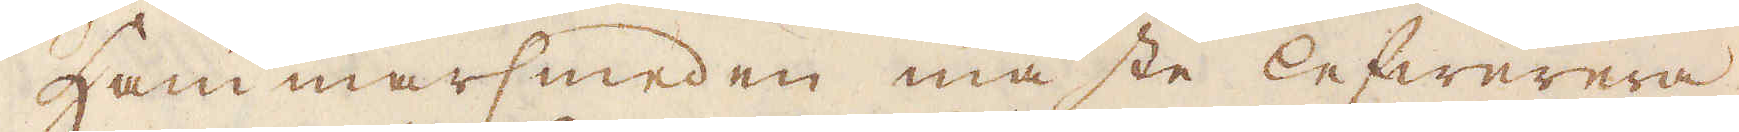Hammarsmeden måste lefwerera
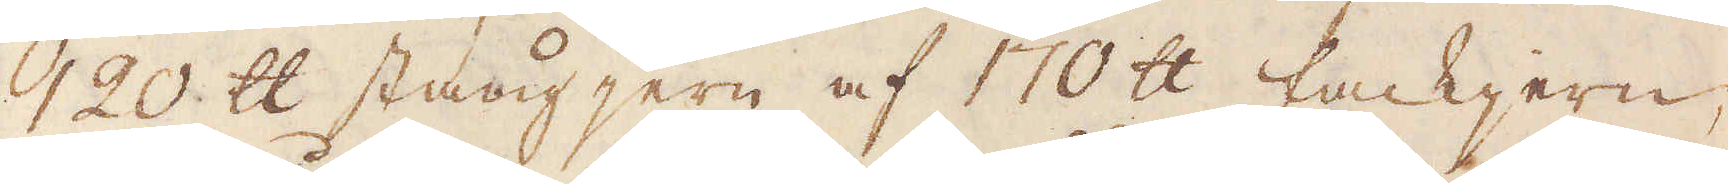120 skålpund stångjern af 170 skålpund tackjern,
